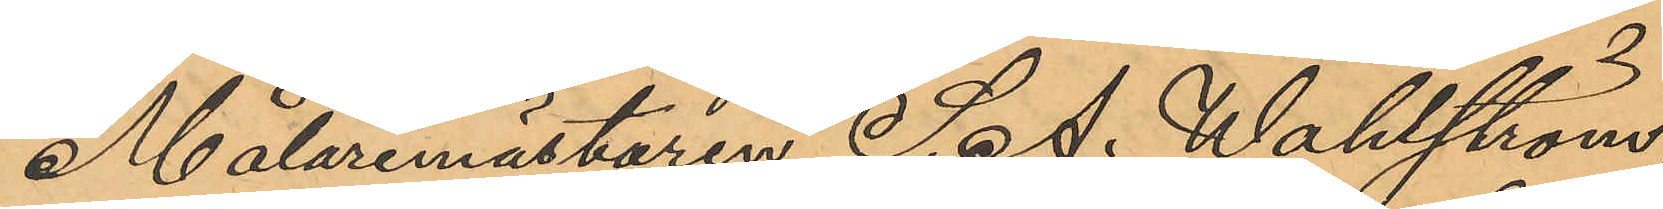Målaremästaren S. A. Wahlström,
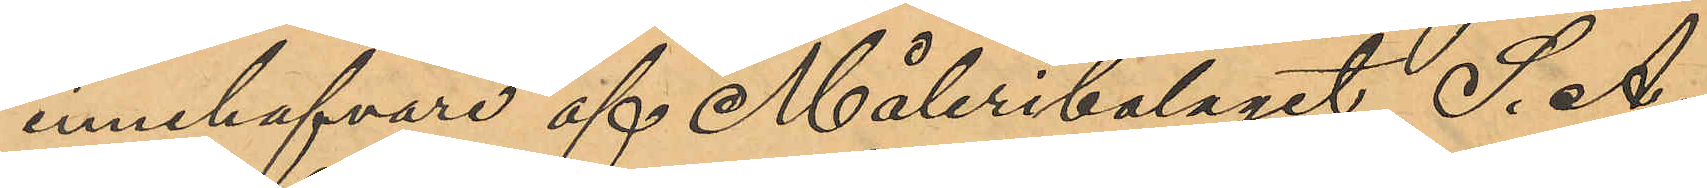innehafvare af Måleribolaget S. A
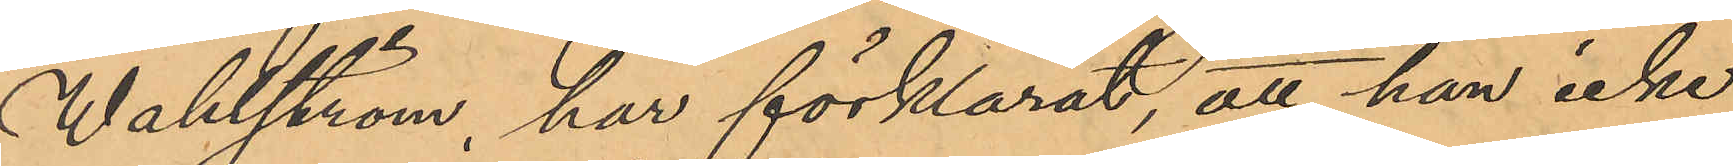Wahlström, har förklarat, att han icke
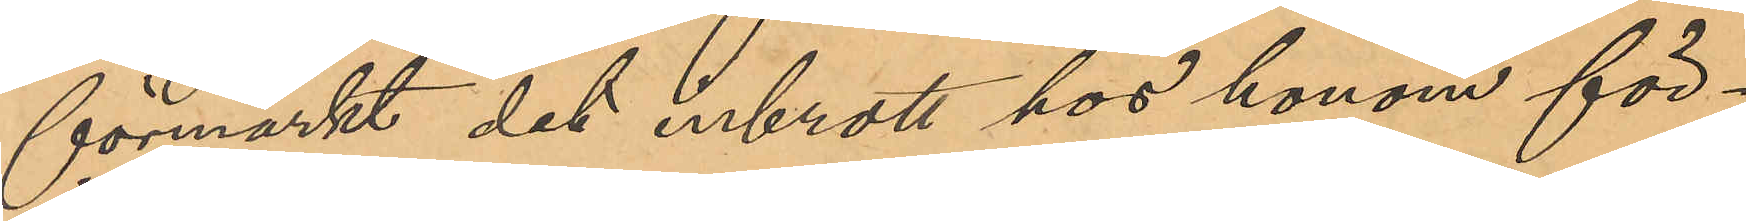förmärkt det inbrott hos honom för¬
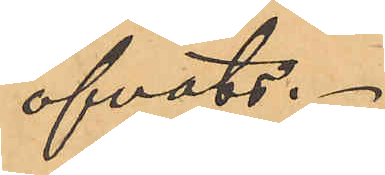öfvats.
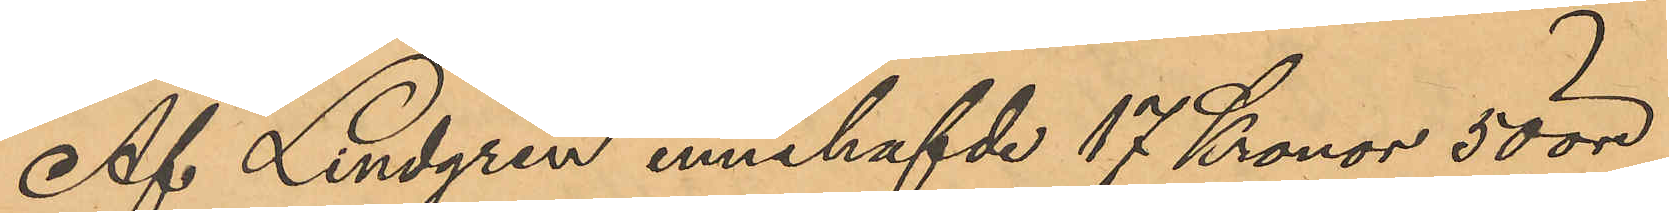Af Lindgren innehafvde 17 Kronor 50 öre
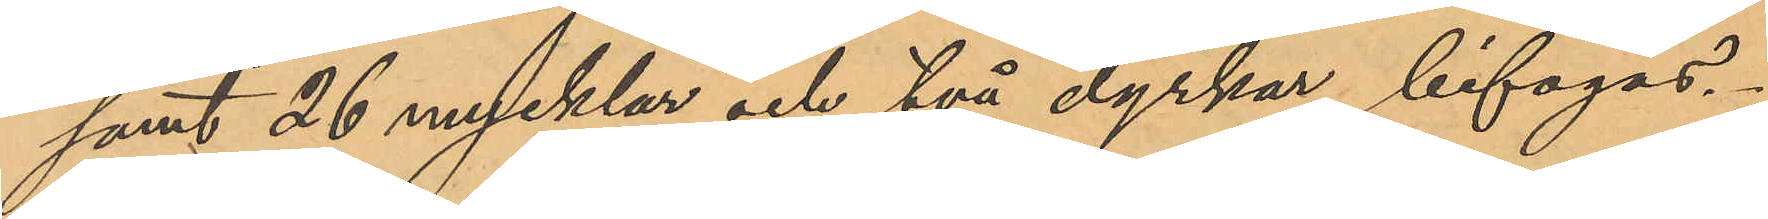samt 26 nycklar och två dyrkar bifogas.
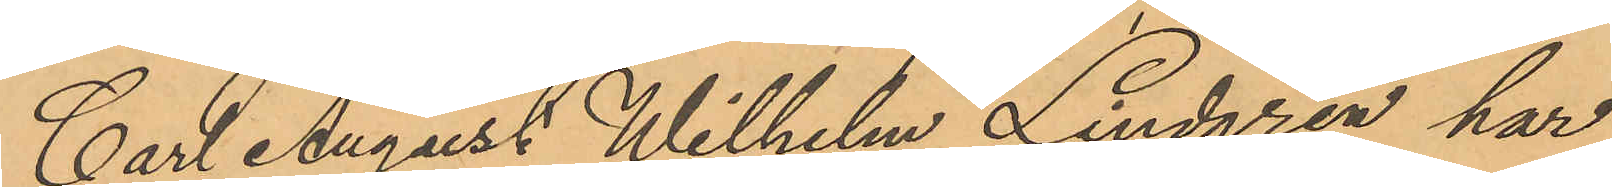Carl August Wilhelm Lindgren har
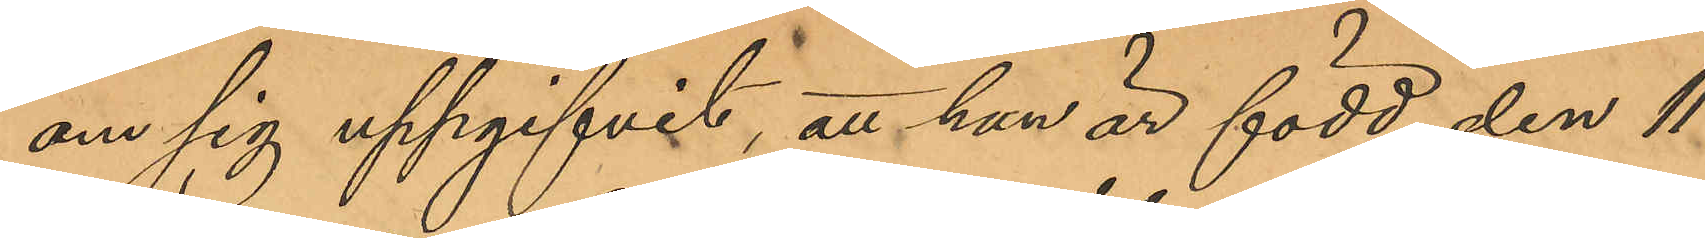om sig uppgifvit, att han är född den 11
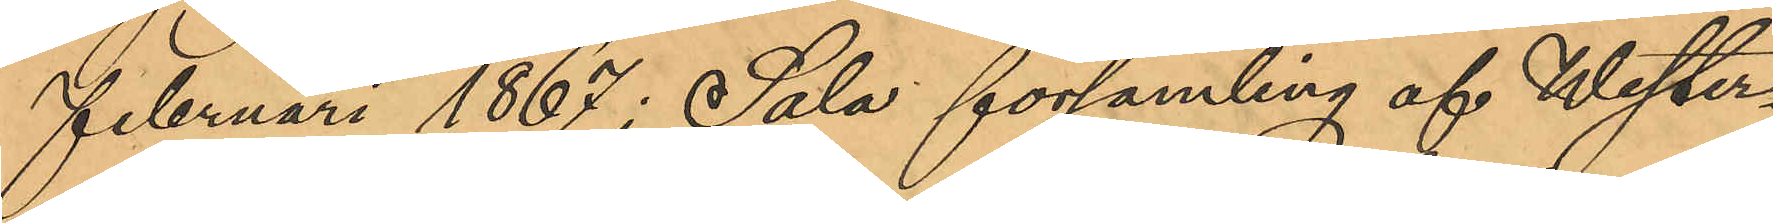Februari 1867 i Sala församling af Wester¬
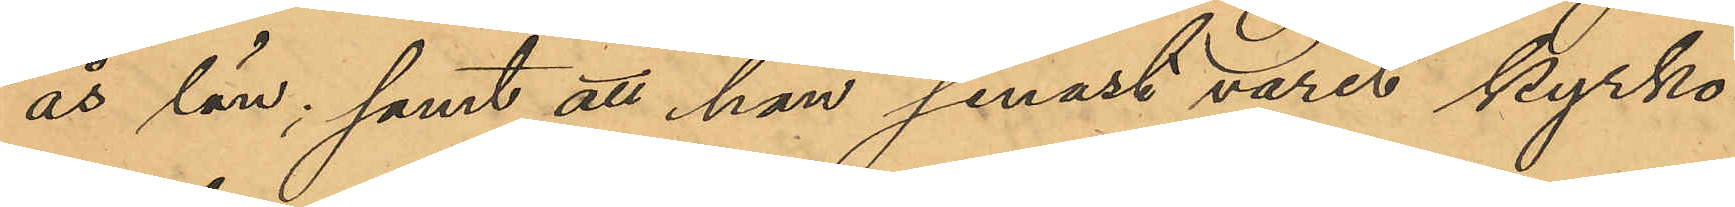ås län; samt att han senast varit kyrko¬
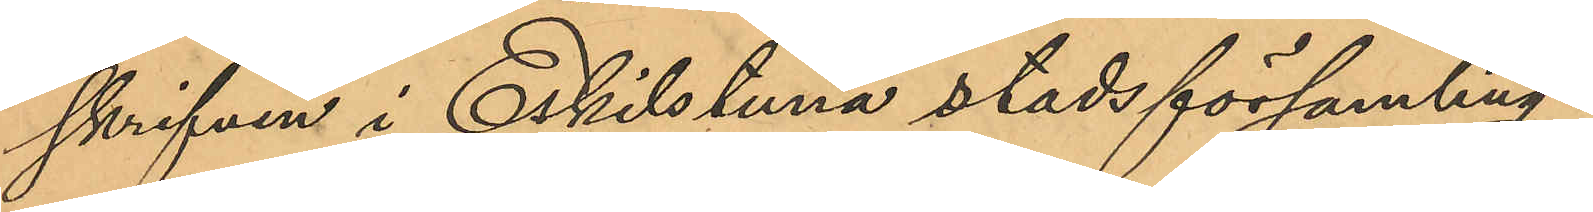skrifven i Eskilstuna stadsförsamling.
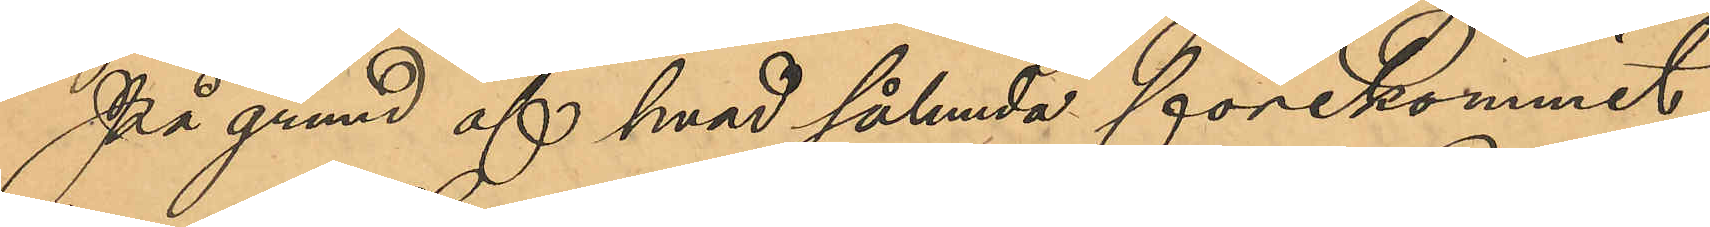På grund af hvad sålunda förekommit,
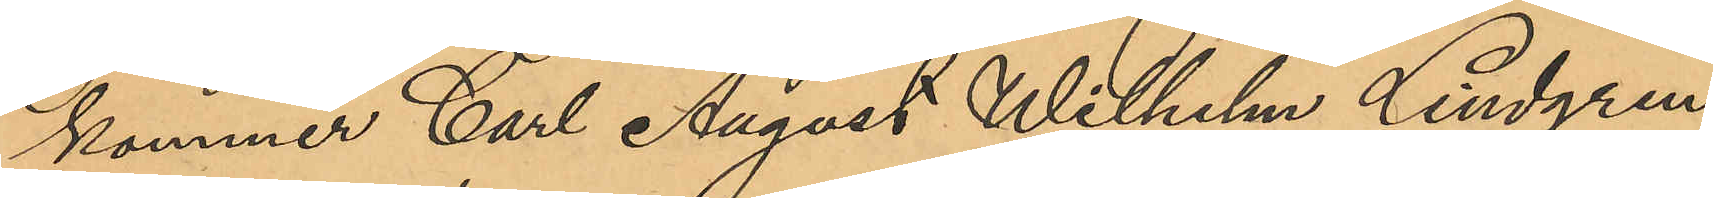kommer Carl August Wilhelm Lindgren,
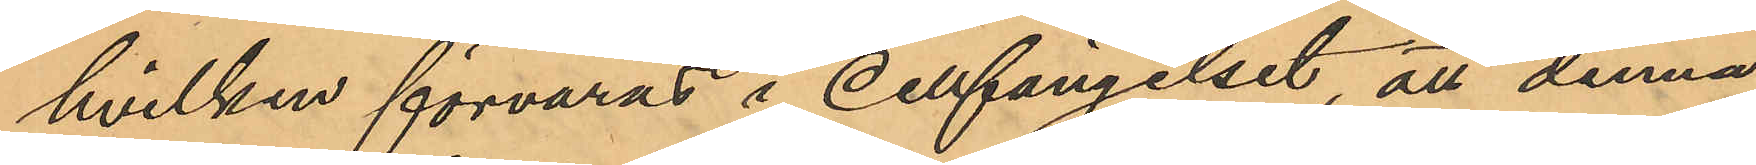hvilken förvaras i cellfängelset, att denna
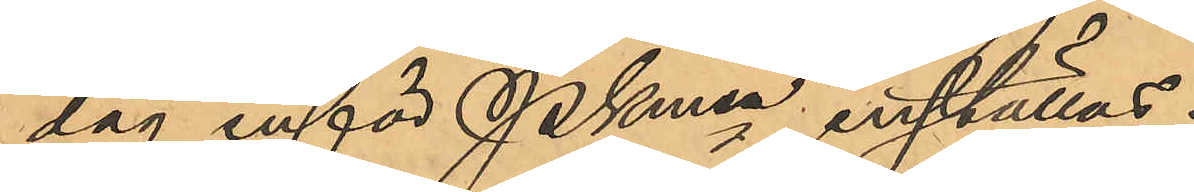dag inför Pkmn inställas.
